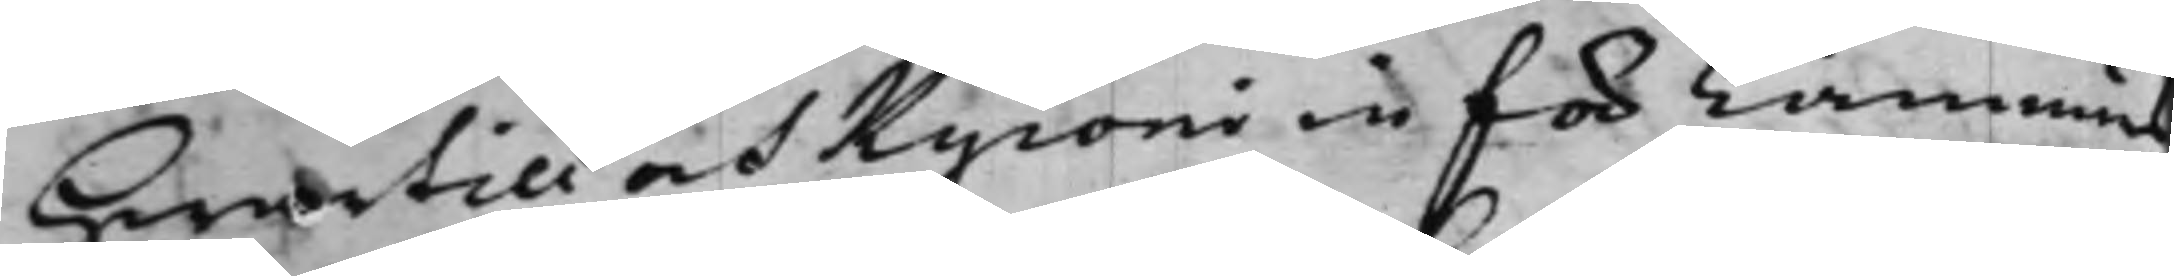Hwartill och Kyroni in för Cämnärs¬
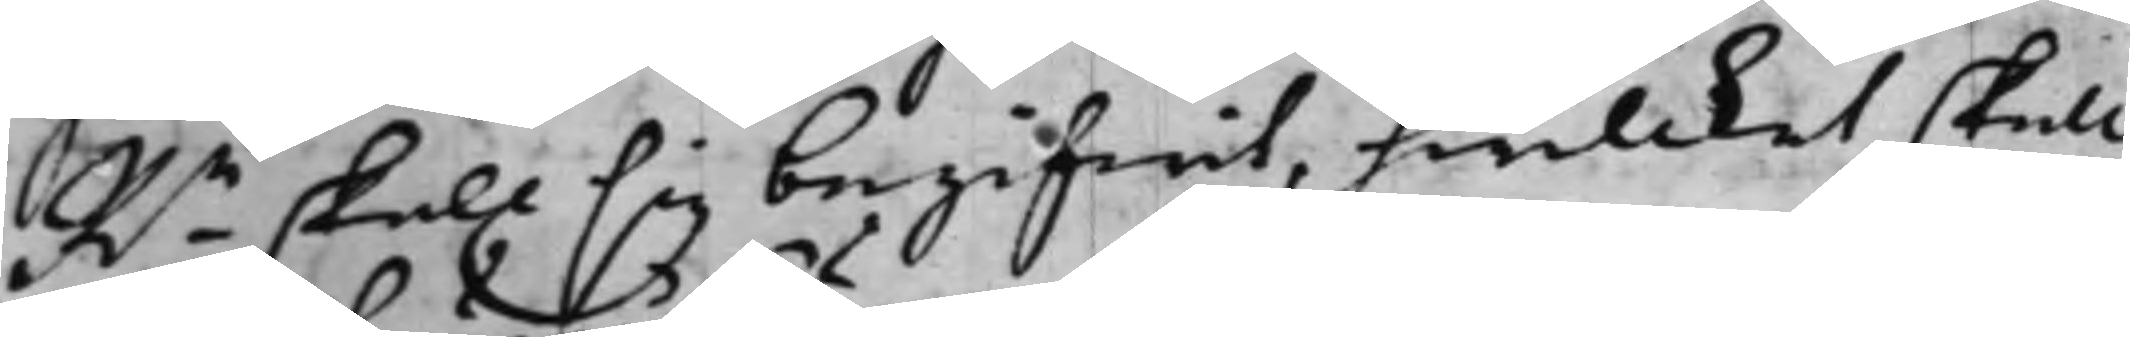Rn skall sig begifwit, hwilcket skall
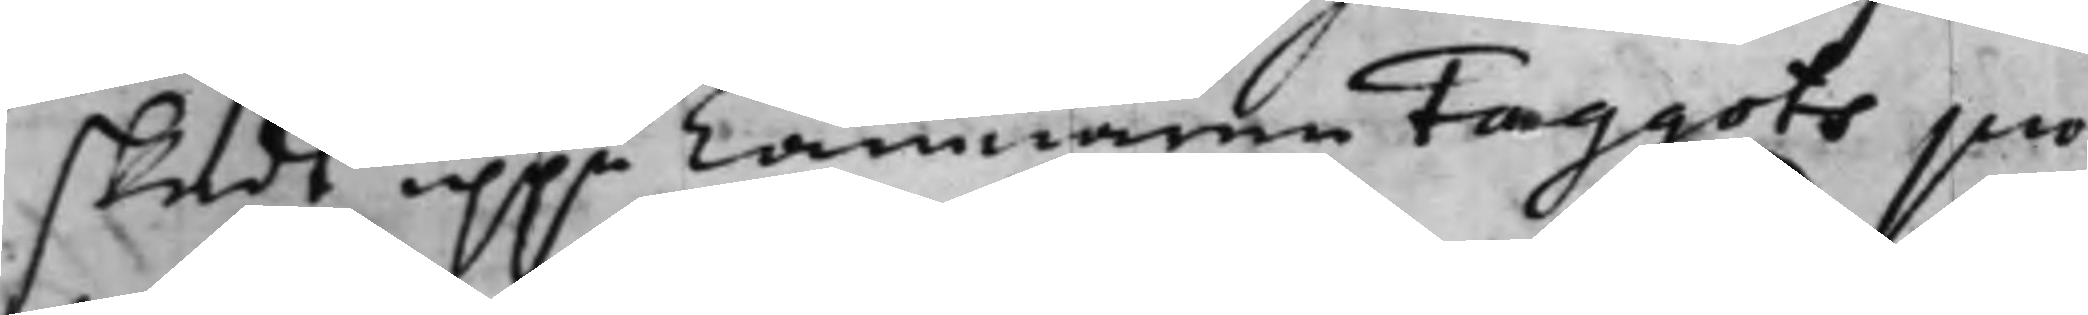skedt uppå Cämnären Faggots pro¬
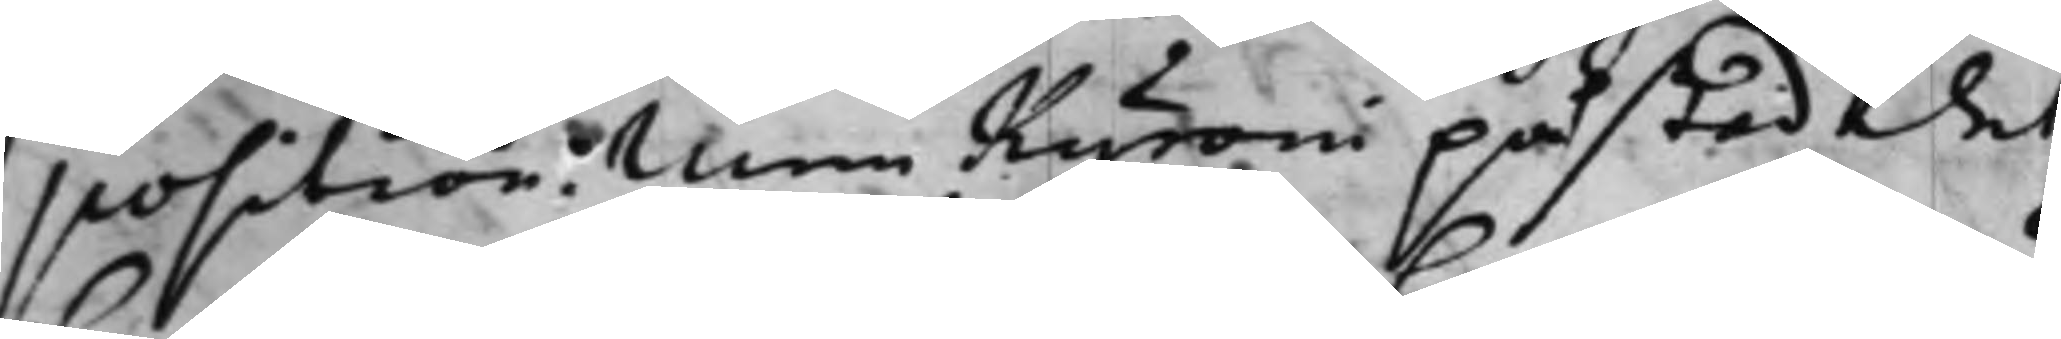position. Men Kyroni påstod det
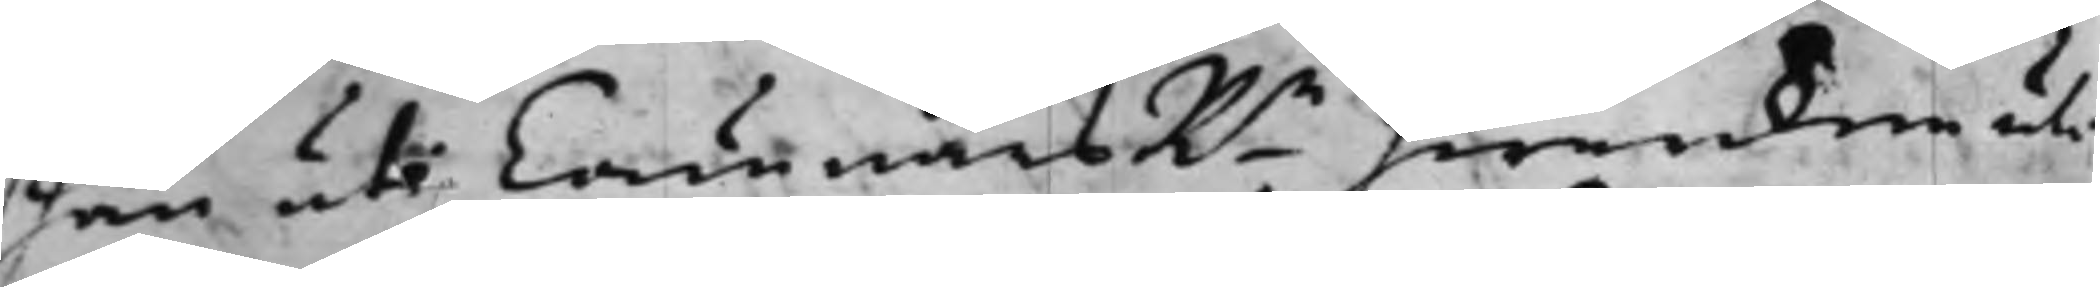han uti CämnärsRn hwarken uti
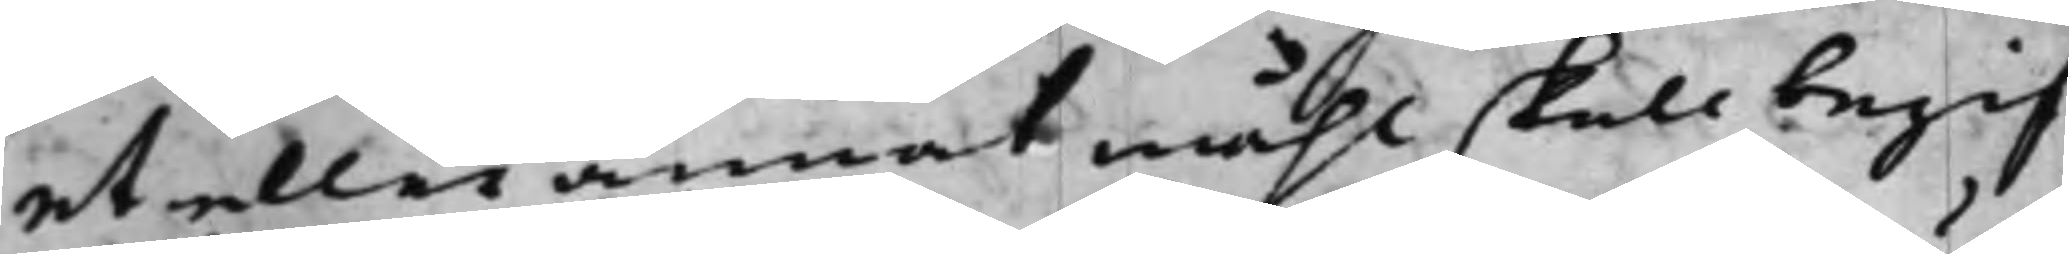et eller annat måhl skall begif¬
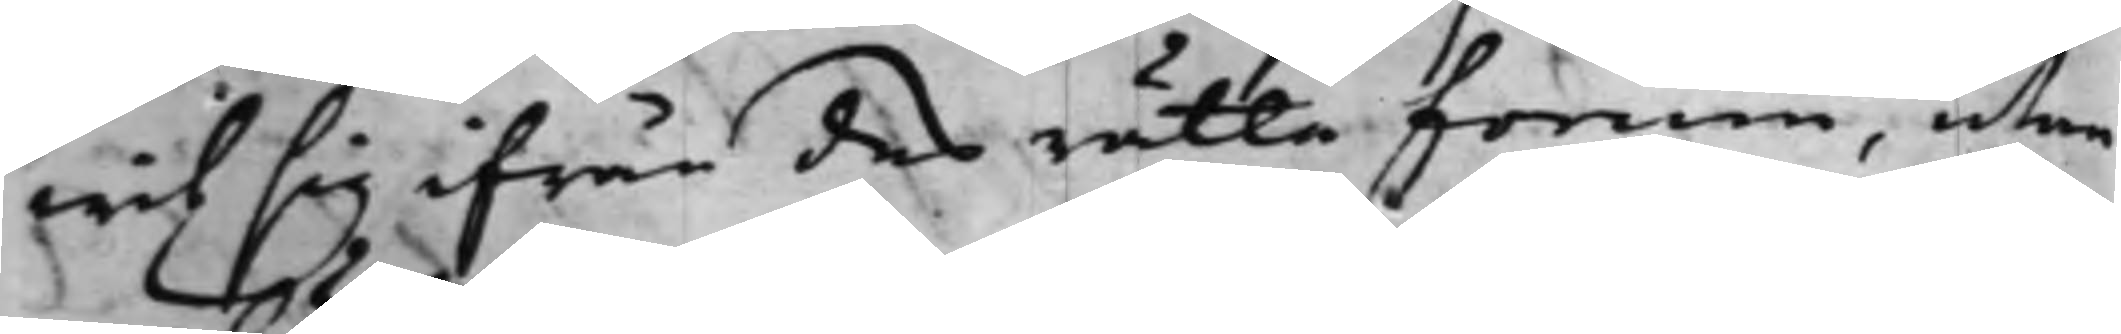wit sig ifrån des rätta forum, utan
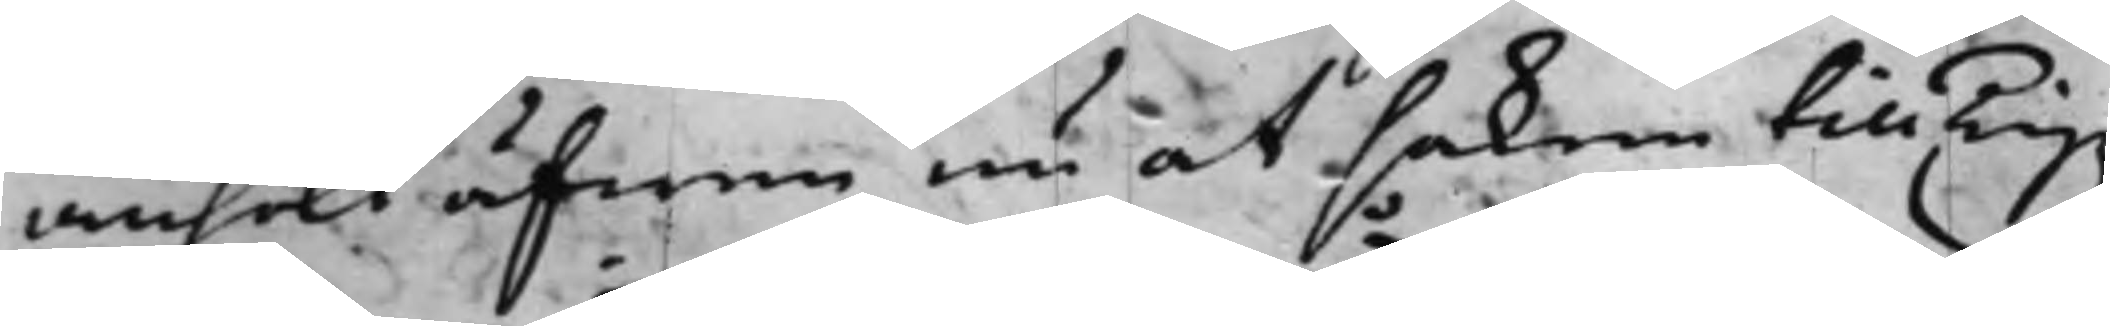ansökt äfwen nu at saken till Tingz¬
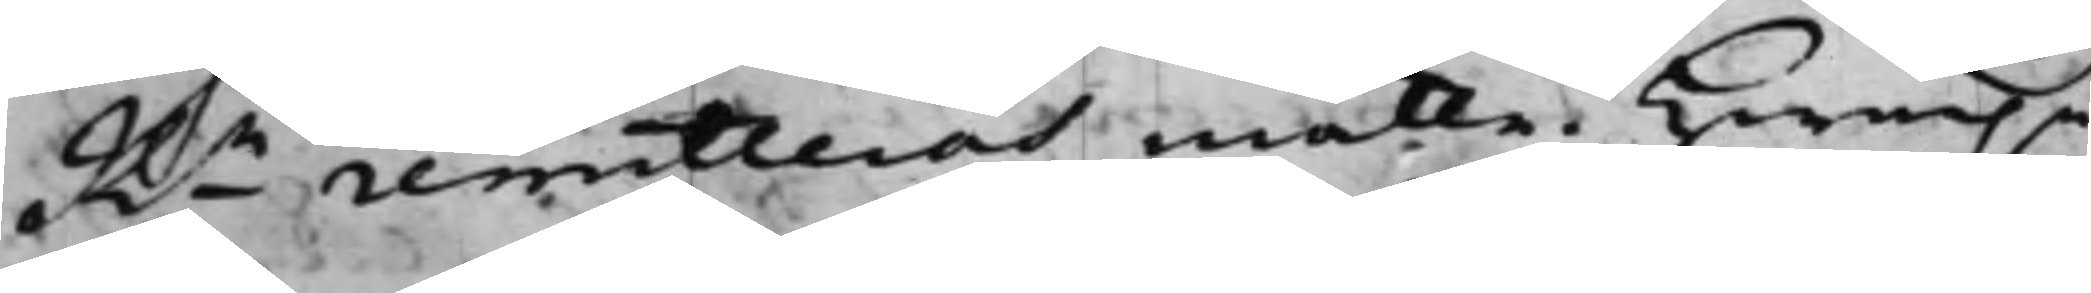Rn remitteras måtte. Hwarpå
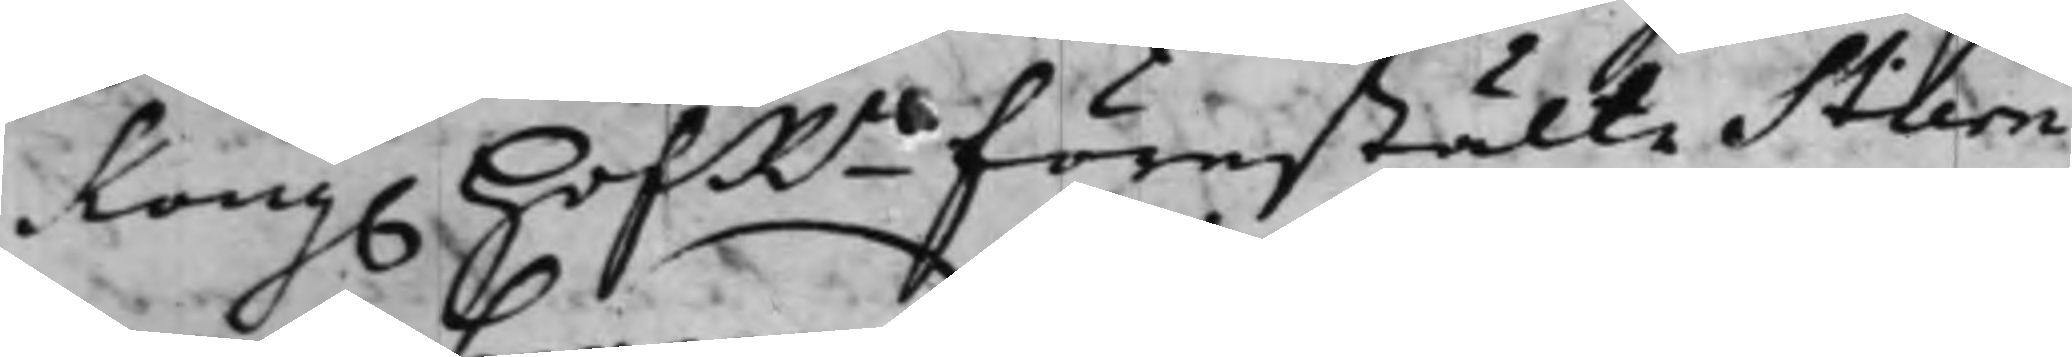Kong. HofRn förestälte Stiern¬
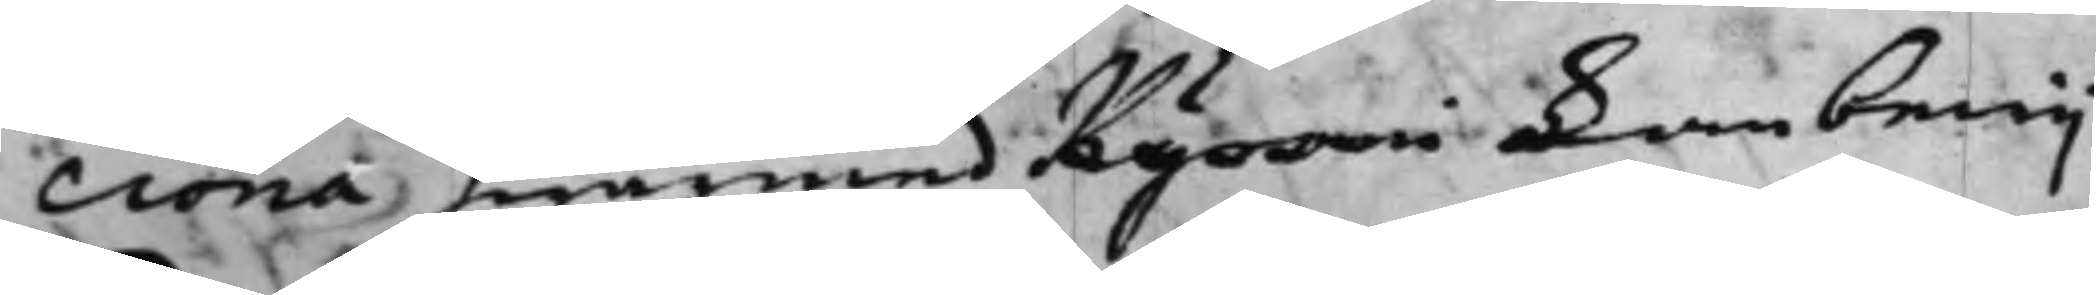crona hwarmed Kyroni kan bewij¬
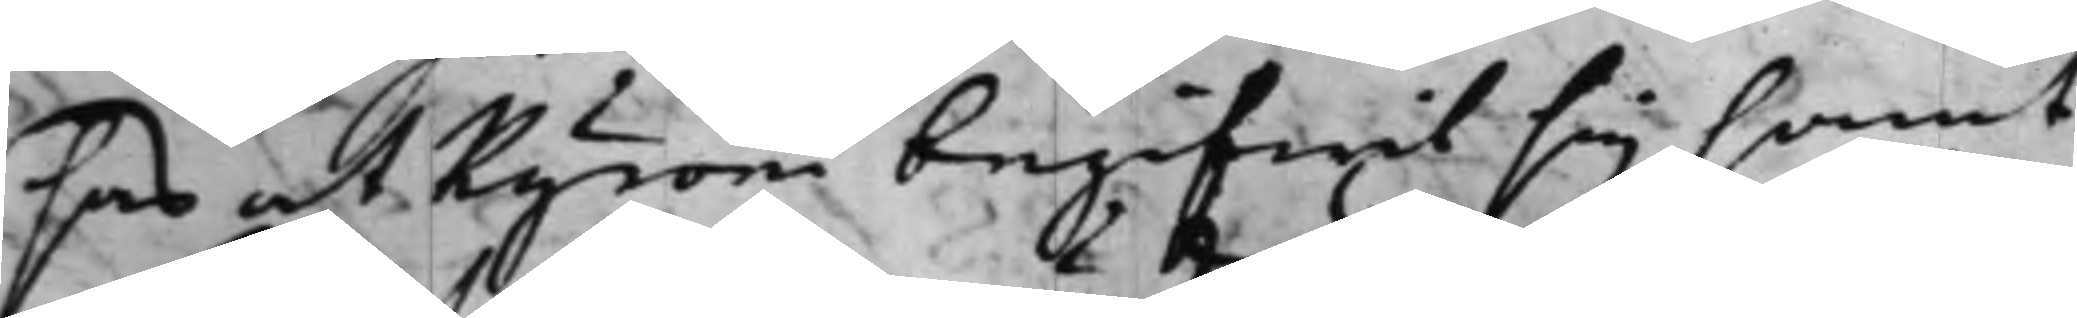sas at Kyroni begifwit sig samt
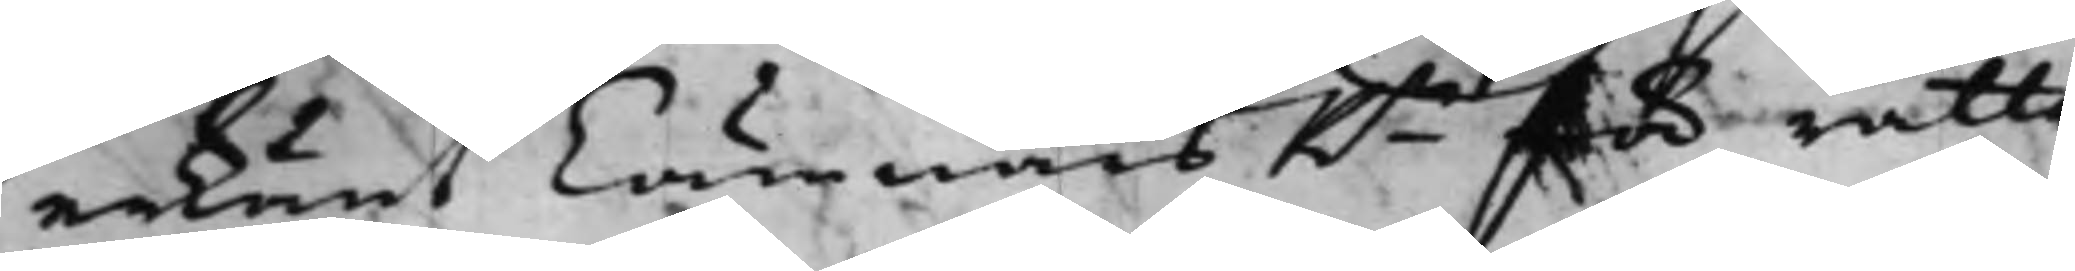erkänt CämnärsRn för rätta
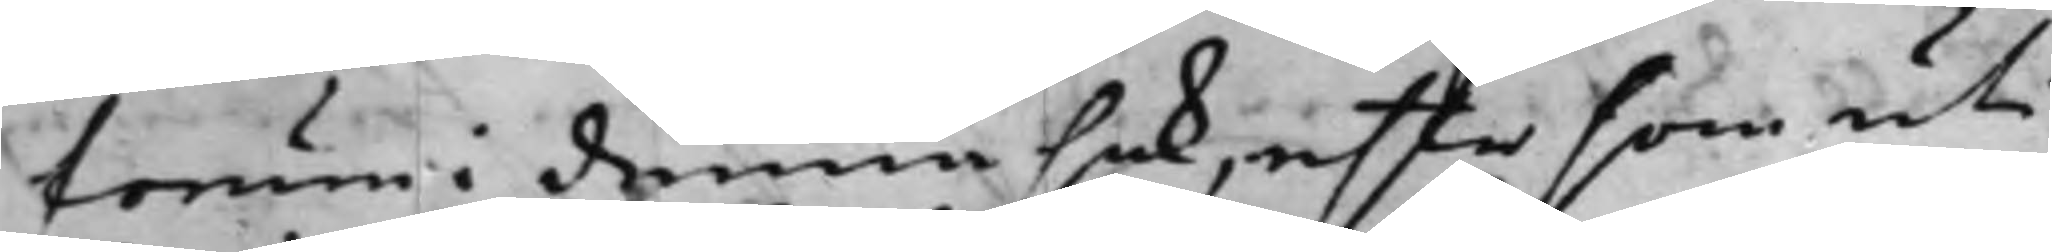forum i denna sak, efter som uti
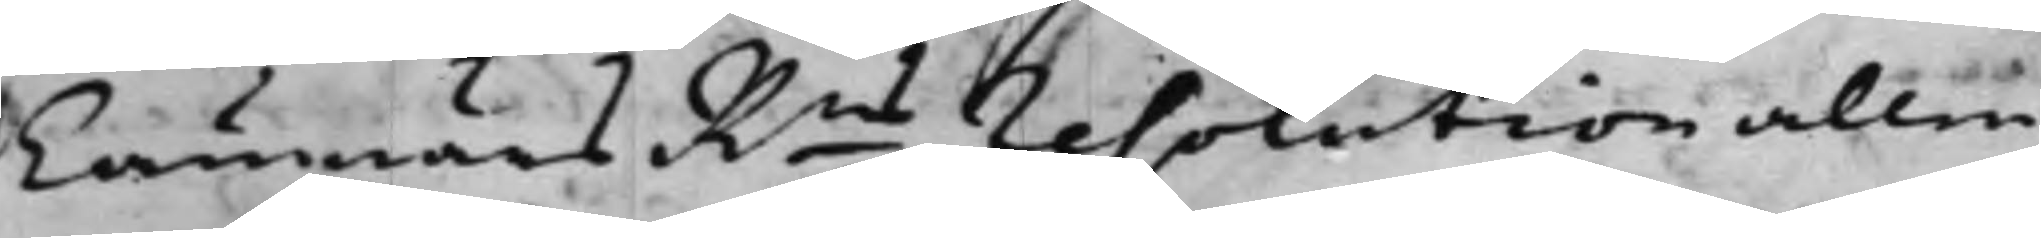CämnärsRns resolution alle¬
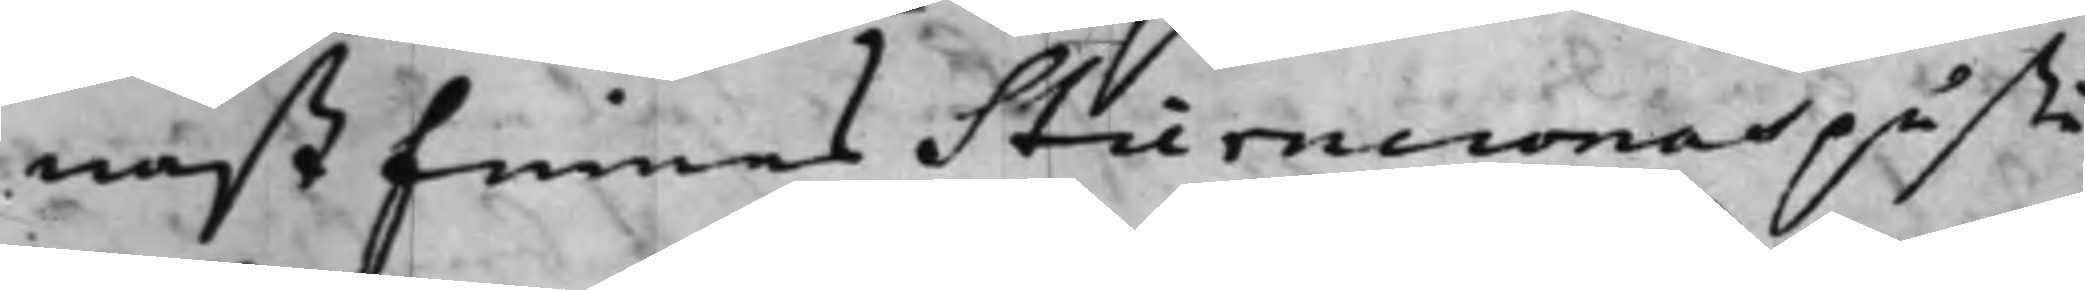nast finnes Stierncronas påstå¬
